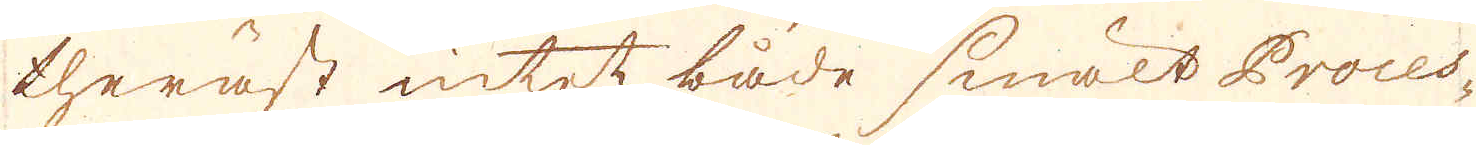theräst intet både smält Proces-
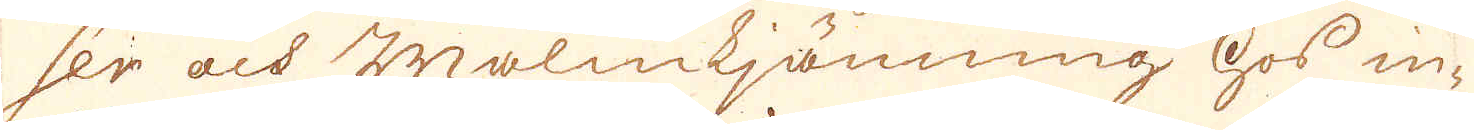ser och malmkjörning hos in-
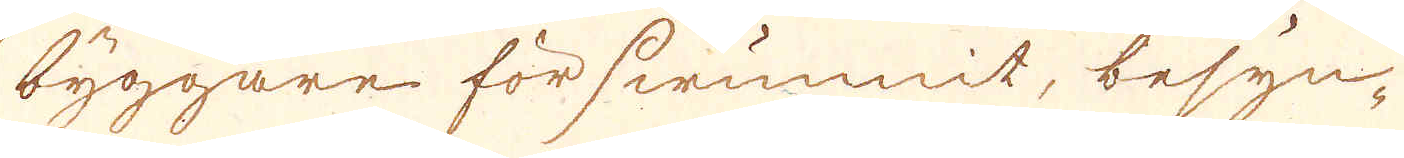byggare förswunnit, besyn-
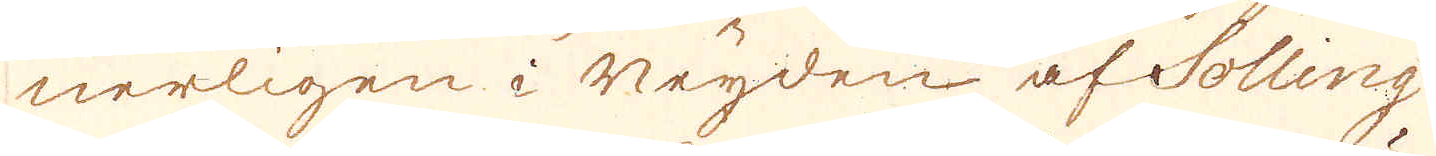nerligen i neijden af Solling
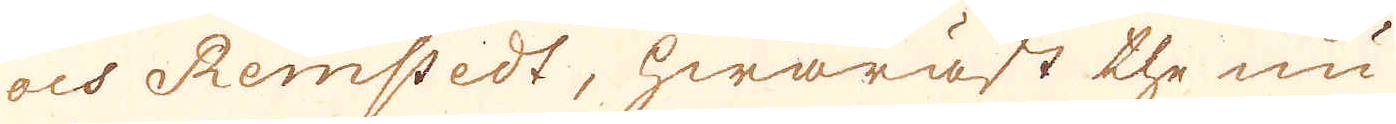och Remstedt, hwaräst the nu
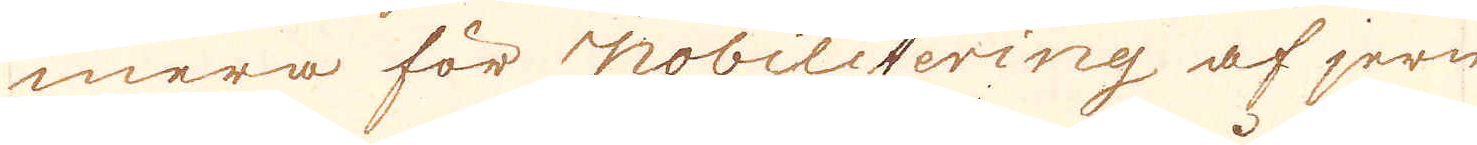mera för nobilitering af jern
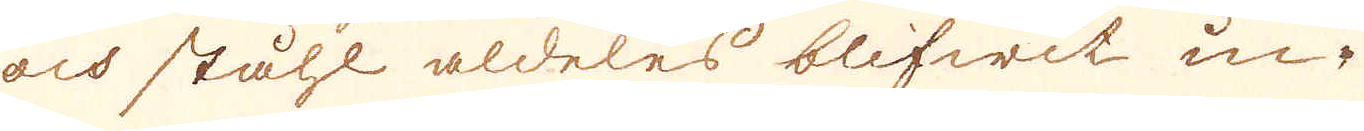och ståhl aldeles blifwit in-
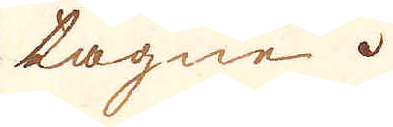tagne.
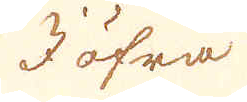I öfra
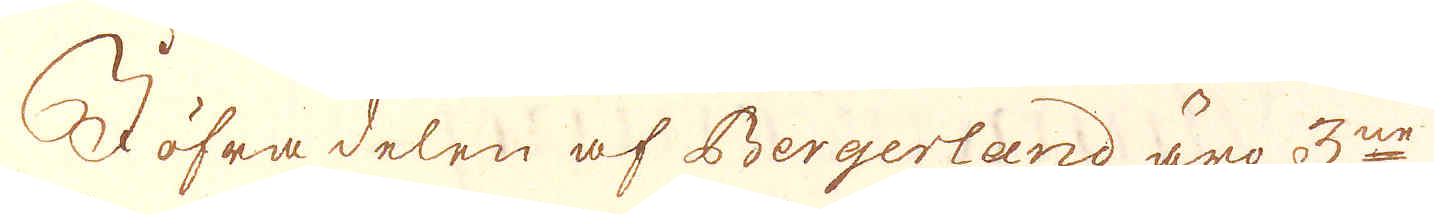I öfra delen af Bergerland äro 3ne
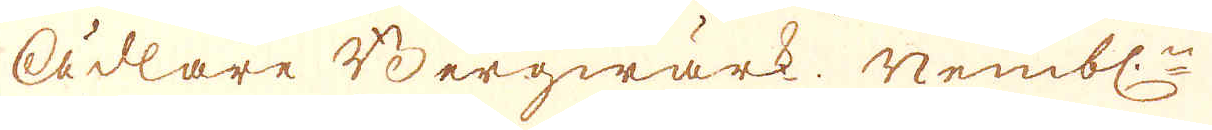ädlare Bergwärk. Nembl:n
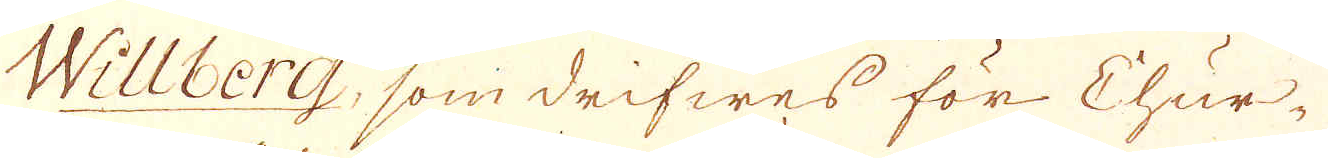Willberg, som drifwes för Chur-
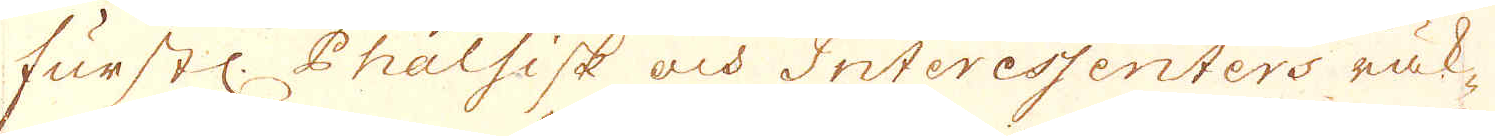furstl. Phalsisk och Interessenters räk-
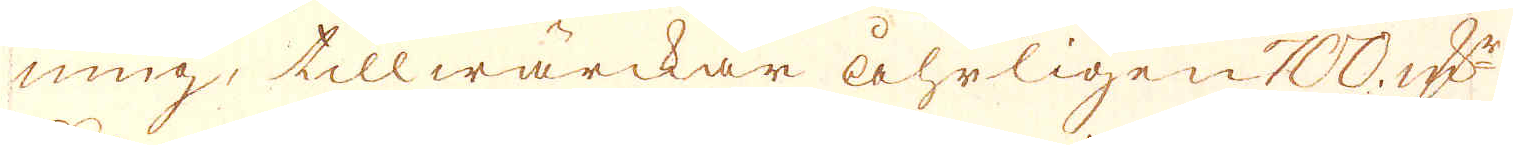ning, tillwärckar åhrligen 700. qv:r
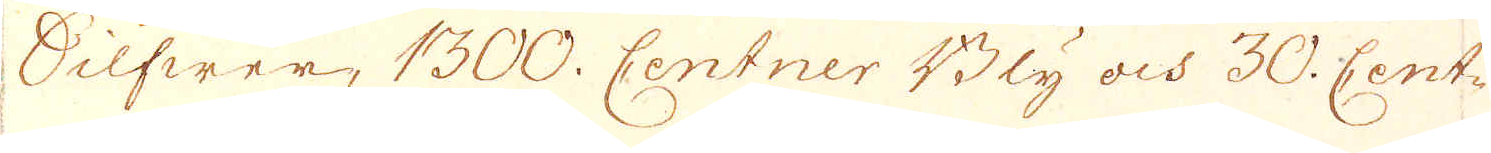Silfwer, 1300. Centner Bly och 30. Cent-
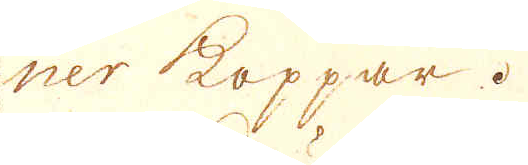ner koppar.
